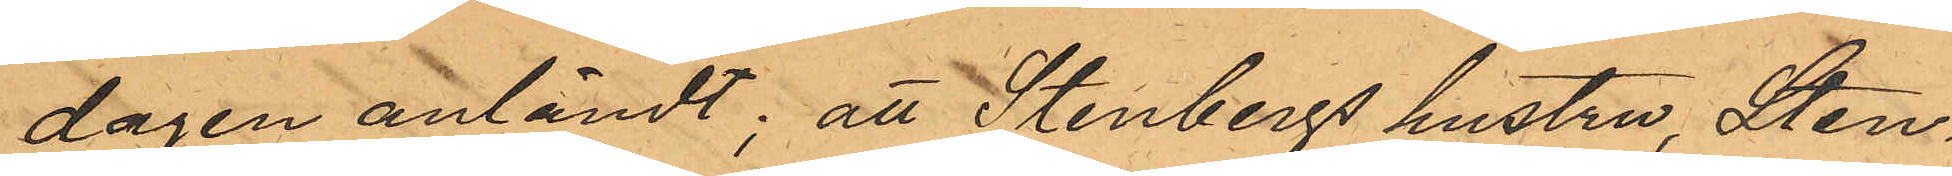dagen anländt; att Stenbergs hustru, Sten¬
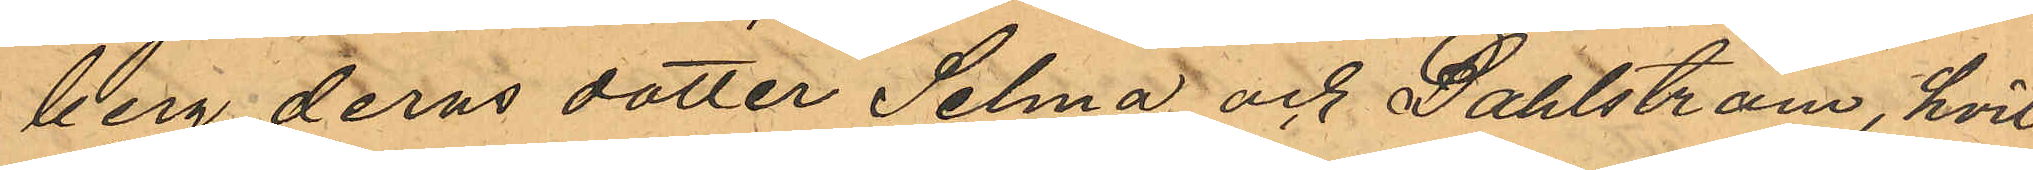berg, deras dotter Selma och Dahlström, hvil¬
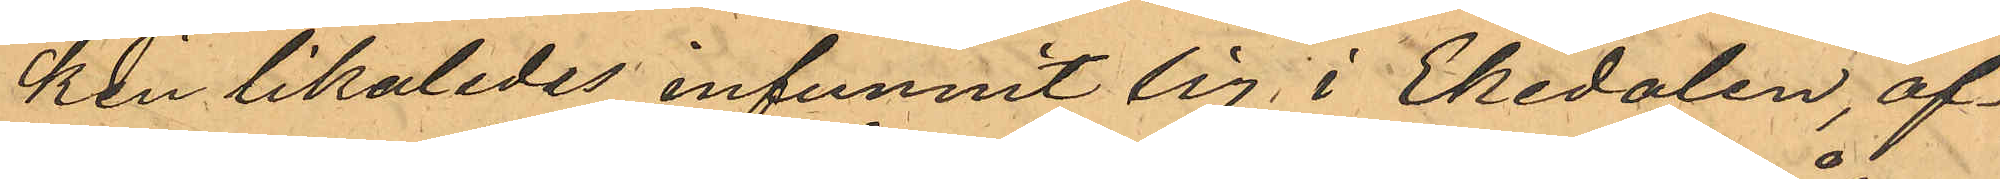ken likaledes infunnit sig i Ekedalen, äf¬
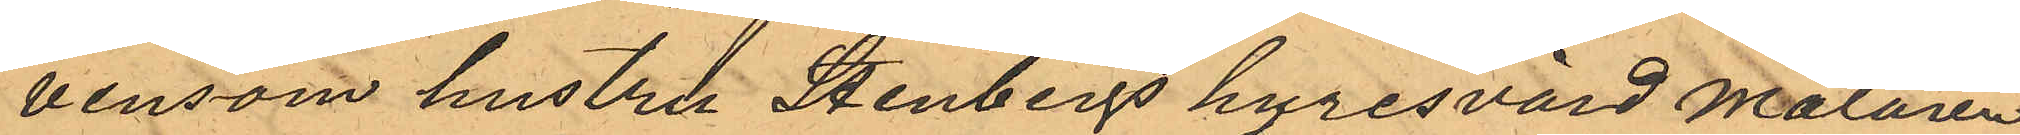vensom hustru Stenbergs hyresvärd målaren
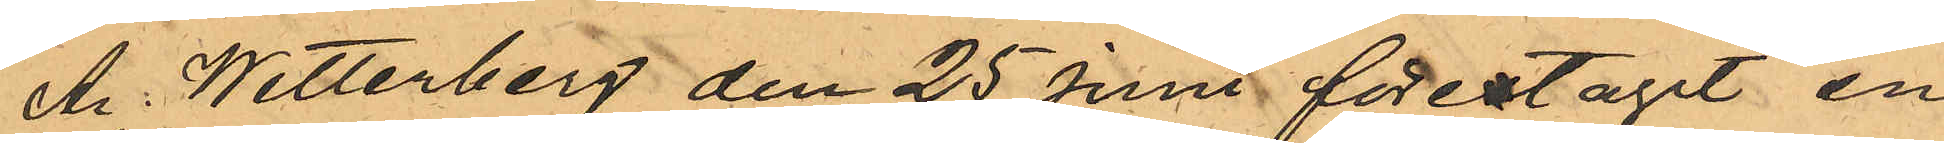A. Wetterberg den 25 Juni förestagit en
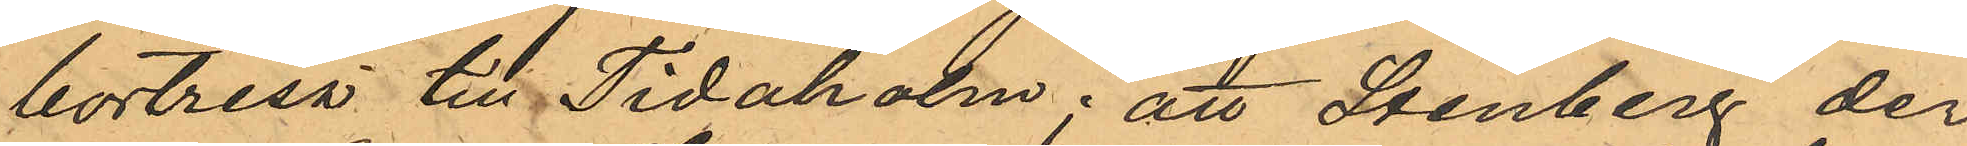bortresa till Tidaholm; att Stenberg der
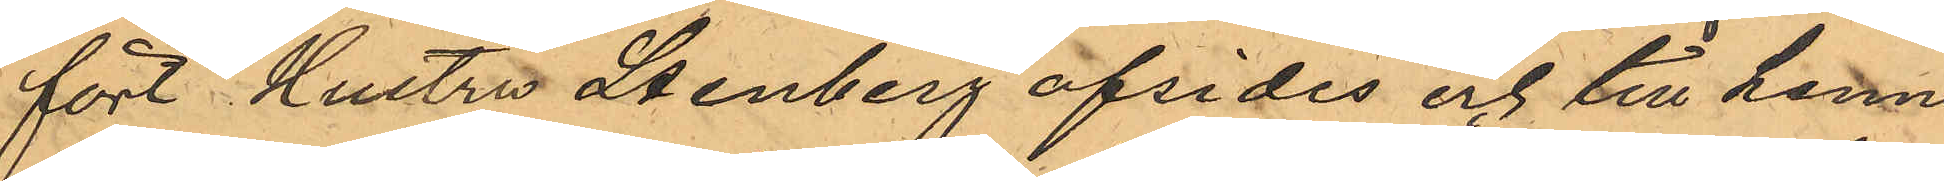fört Hustru Stenberg afsides och till henne
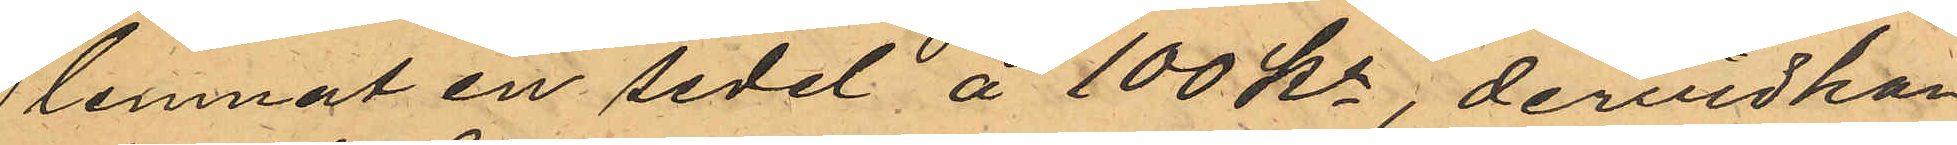lemnat en sedel å 100 Kr, dervid han
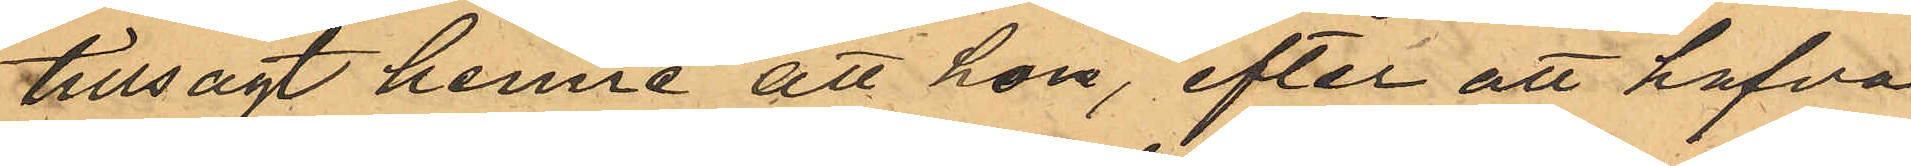tillsagt henne att hon, efter att hafva
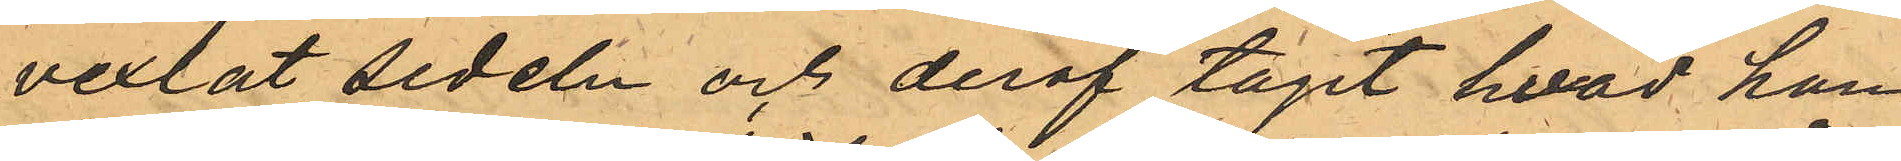vexlat sedeln och deraf tagit hvad hon
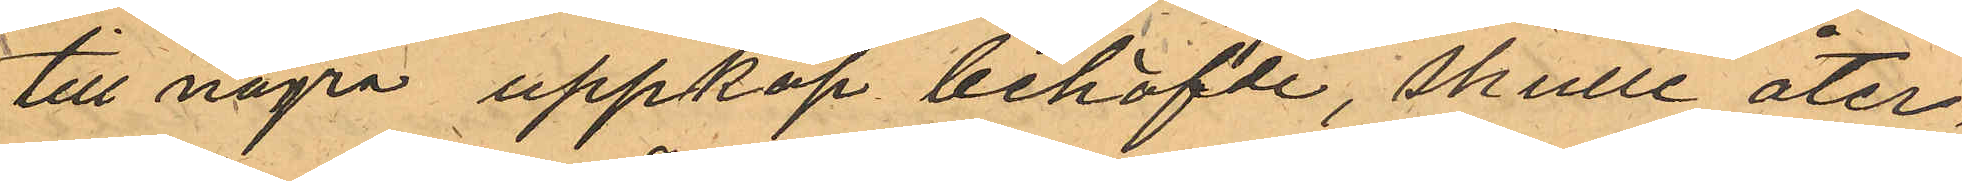till några uppköp behöfde, skulle åter¬
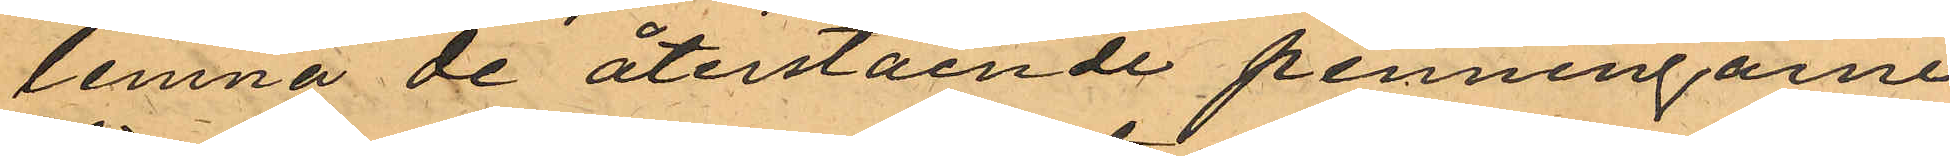lemna de återstående penningarne
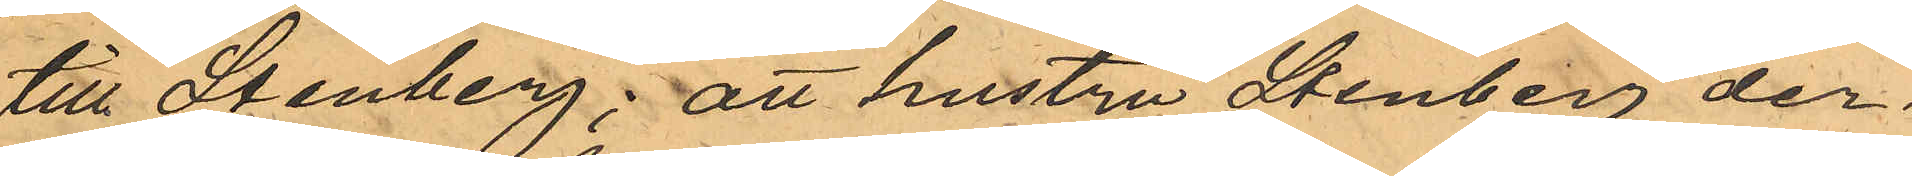till Stenberg, att hustru Stenberg der¬
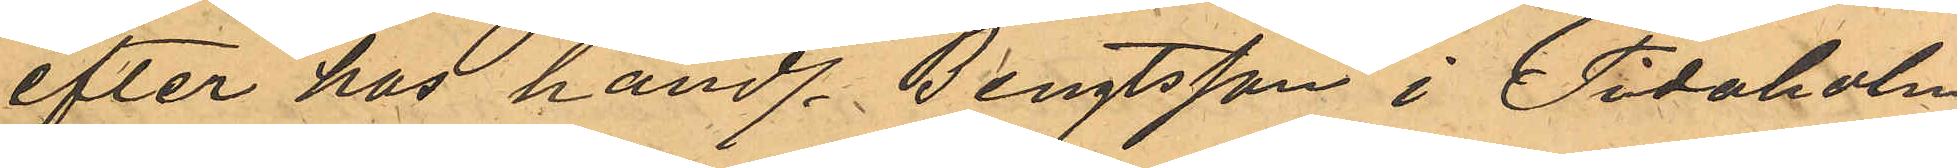efter hos handl. Bengtsson i Tidaholm
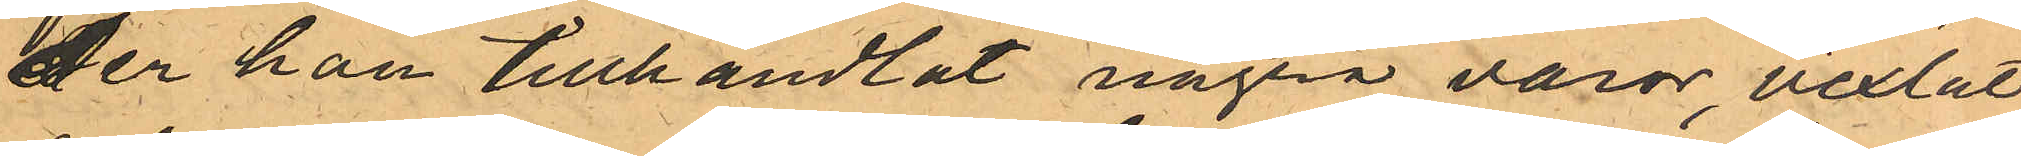der han tillhandlat några varor, vexlat
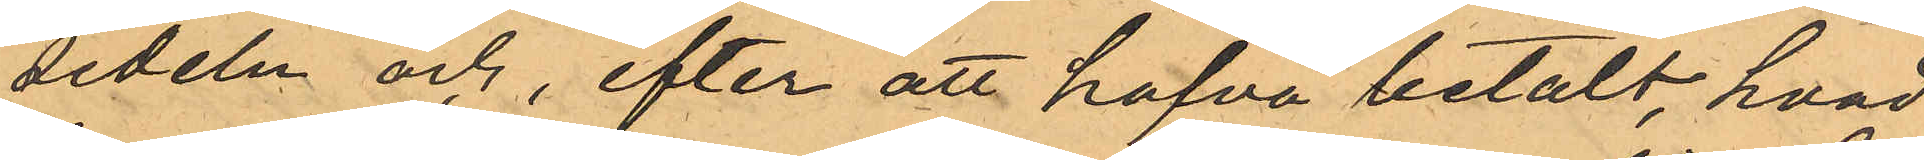sedeln och, efter att hafva betalt, hvad
